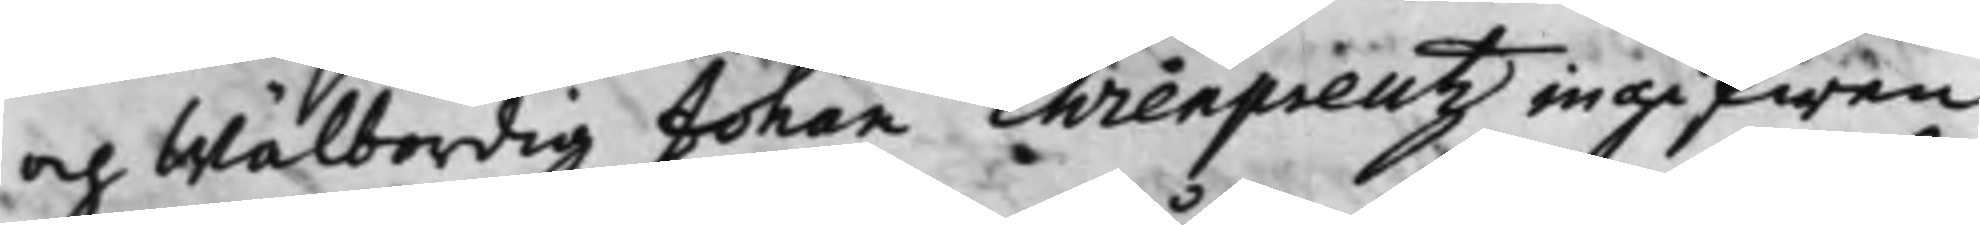och Wälbordig Johan Ehrenpreutz ingifwen
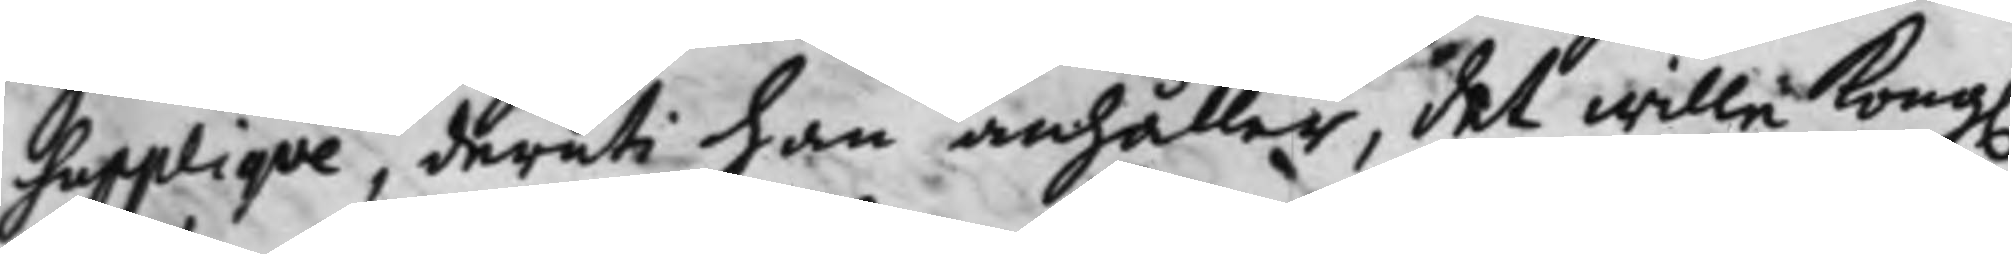Suppliqve, deruti han anhåller, det wille Kong. 
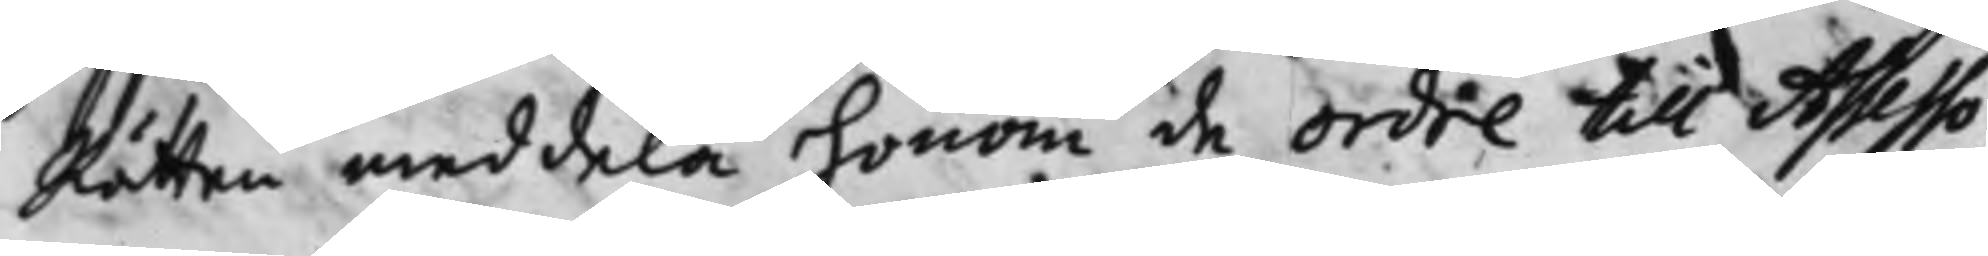Rätten meddela honom de ordre till Asssesso¬
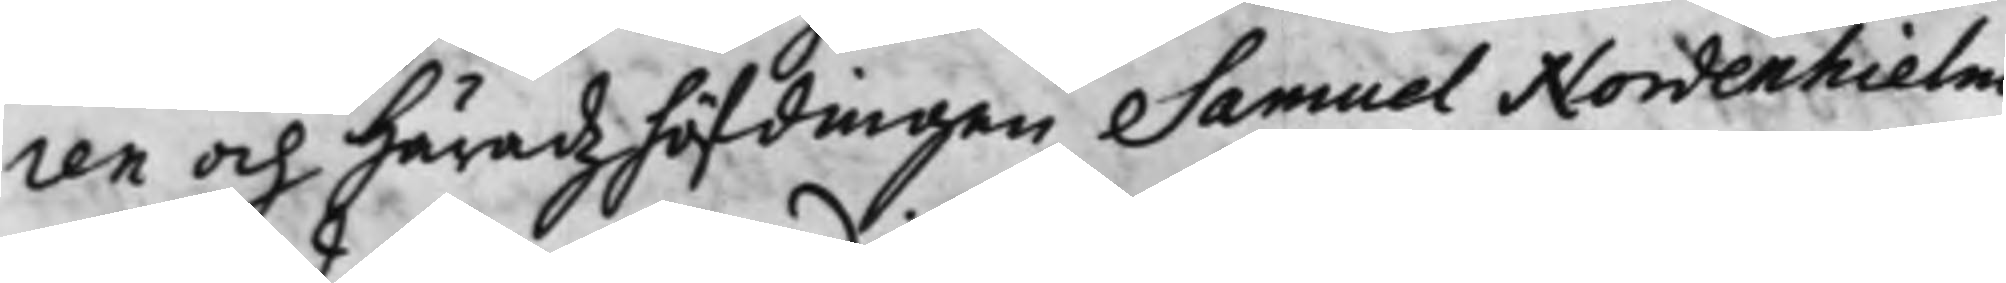ren och Häradzhöfdingen Samuel Nordenhielm
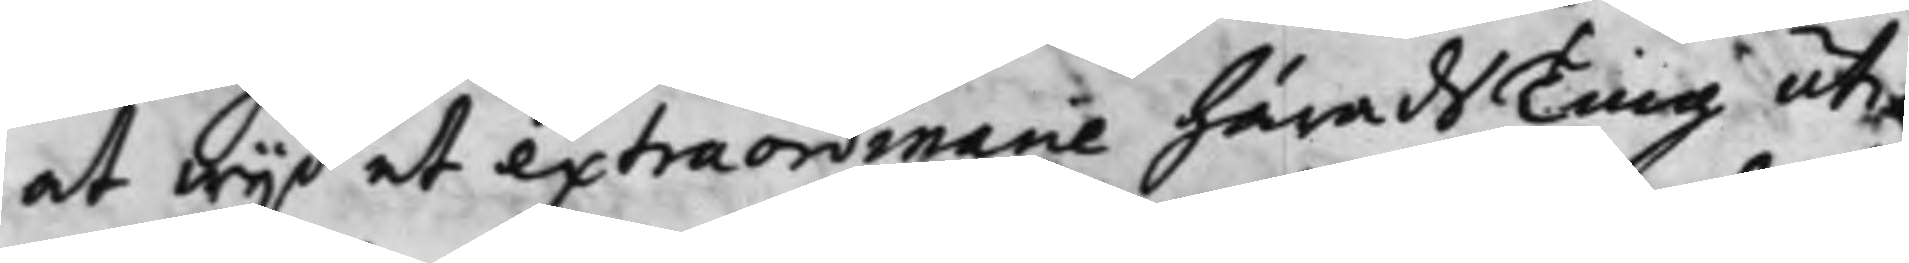at wijd et extraordinarie häradsTing uti¬
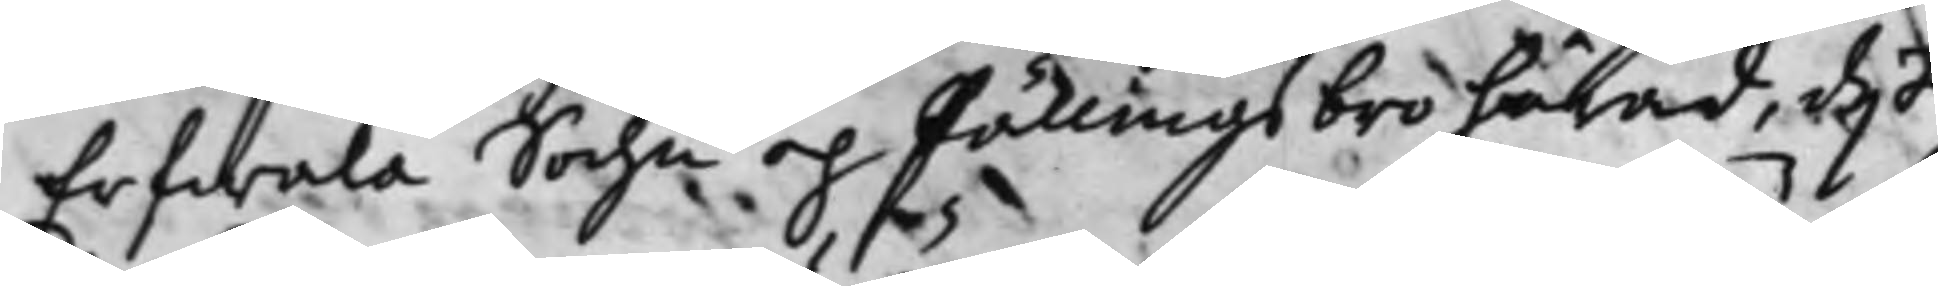Erfwala Sochn och Fällingsbro härad, dijt¬
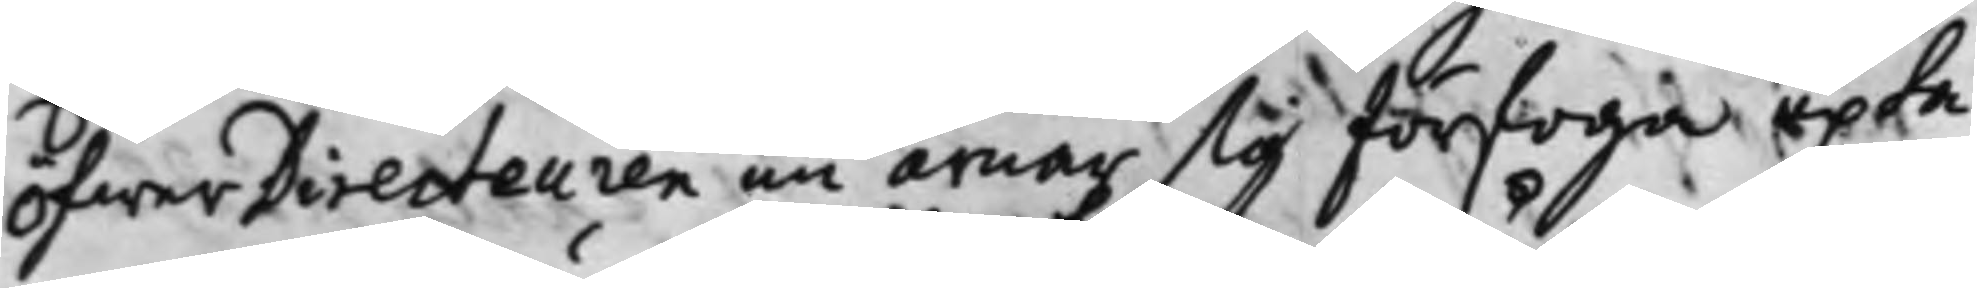öfwer Directeuren nu ärnar sig förfoga upta¬
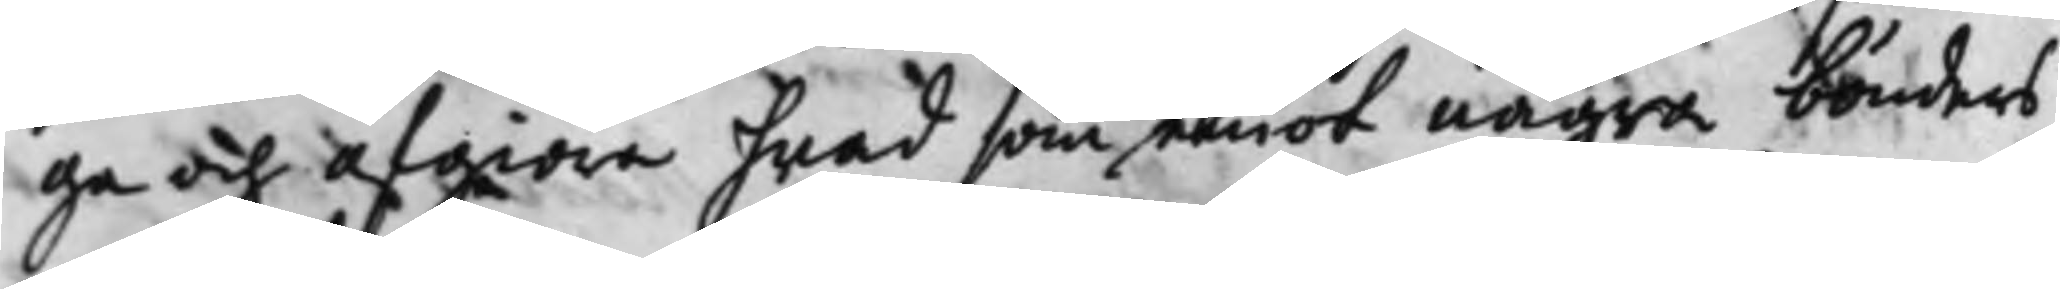ga och afgiöra hwad som emot några bönders
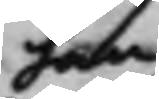han
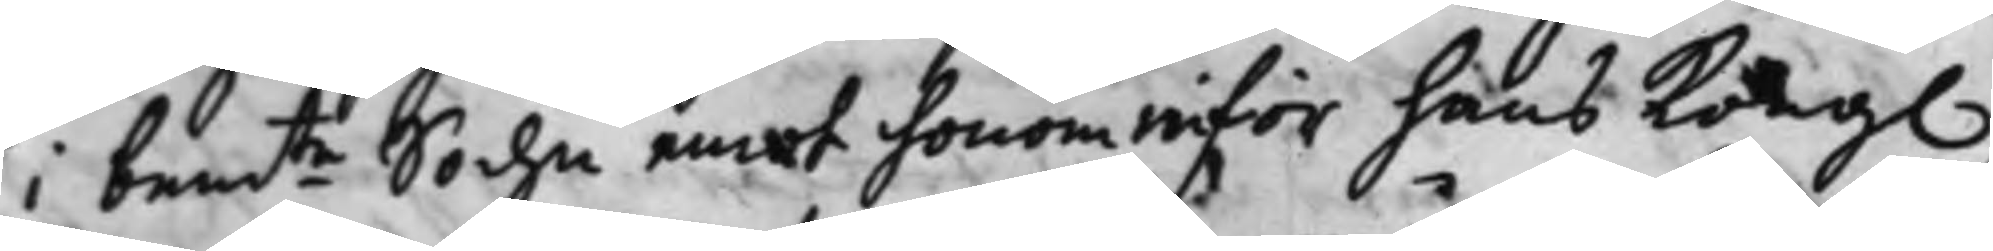i bem.te Sochn emot honom inför hans Kongl. 
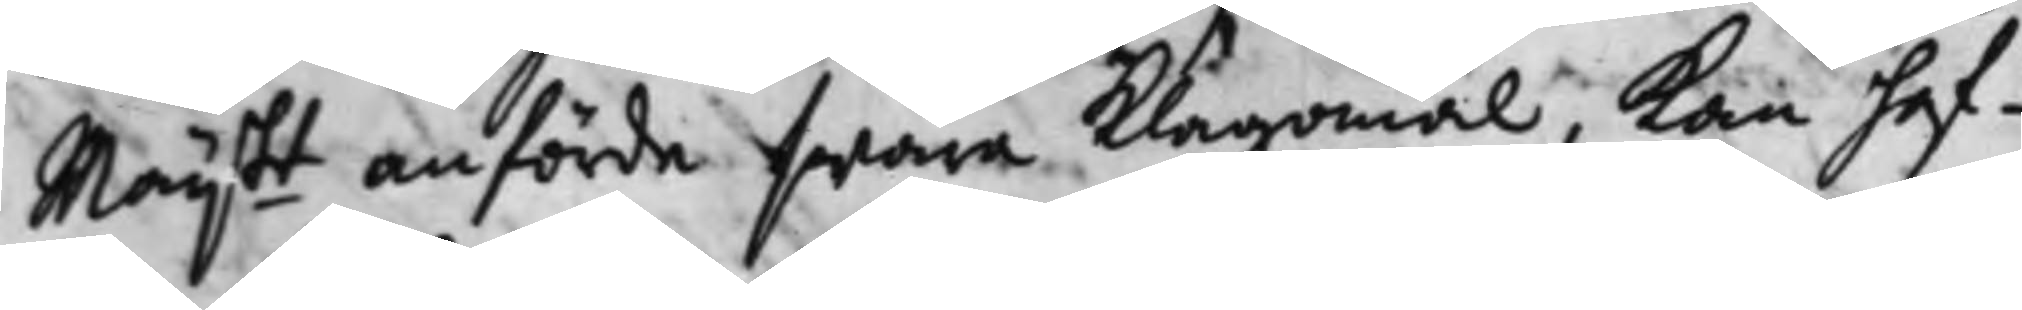Maij.tt anförde swåra Klagomål, Kan haf¬ 
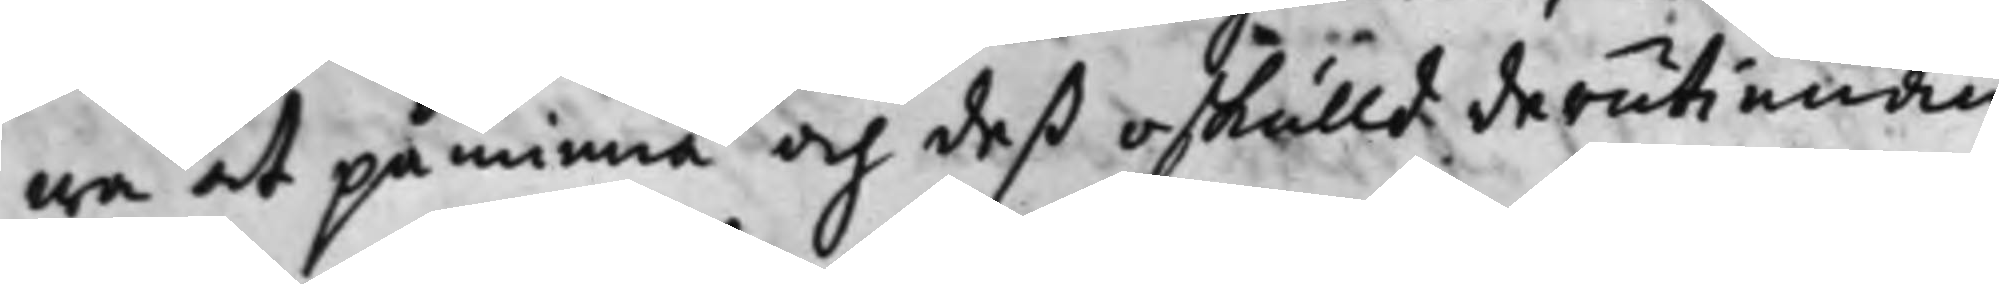wa at påminna och deß oskulld derutinnan
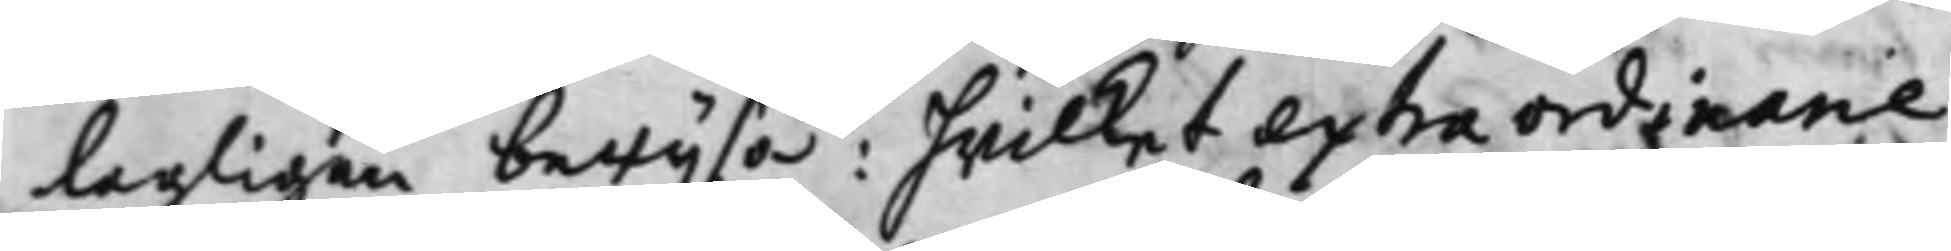lagligen bewijsa: hwilket extraordinarie
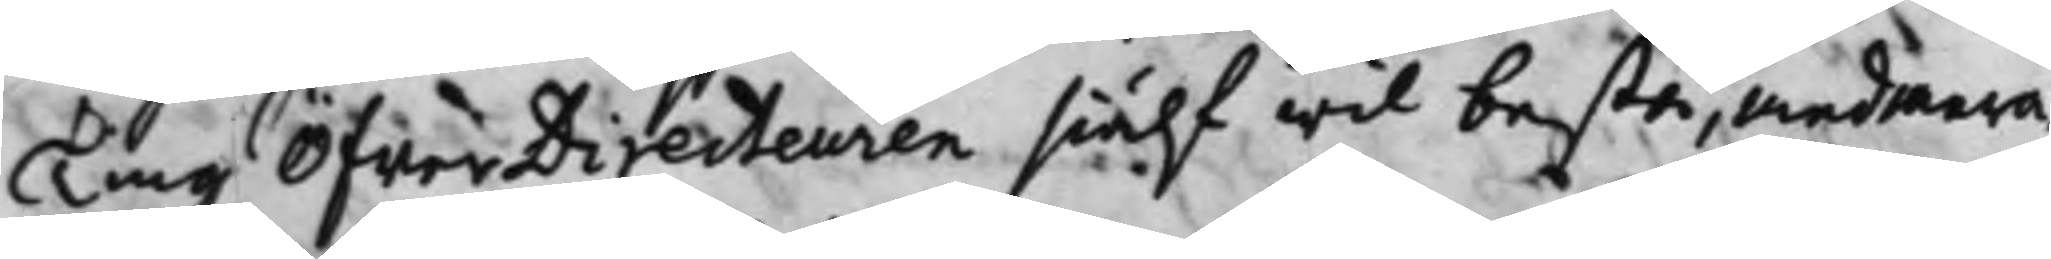Ting ÖfwerDireceuren siälf wil bestå, med mera;
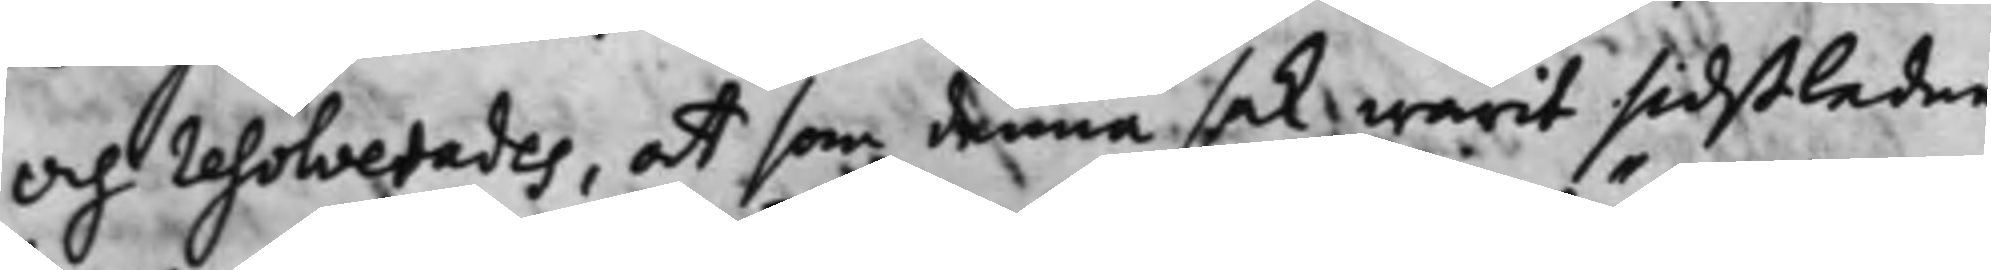Och resolverades, at som denna sak warit sidstledne
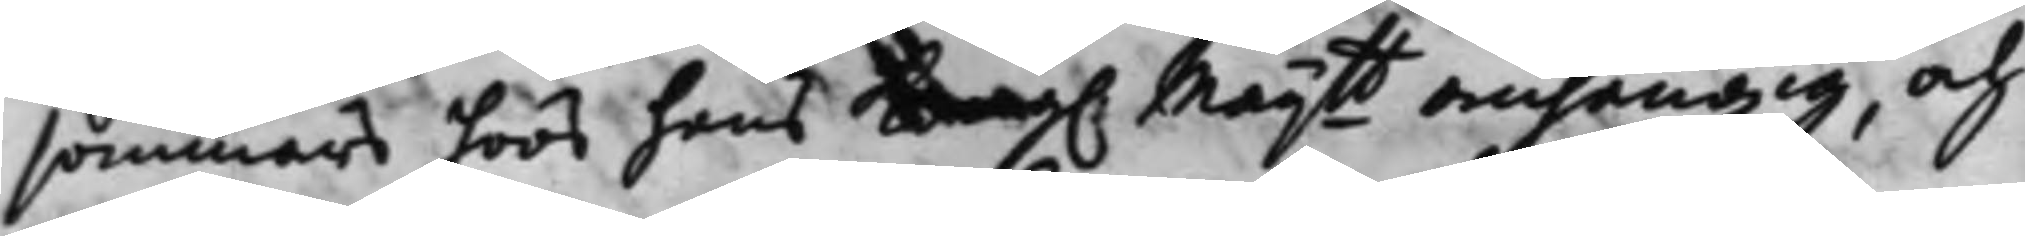sommars hoos hans Kong. Maij.tt anhängig, och 
